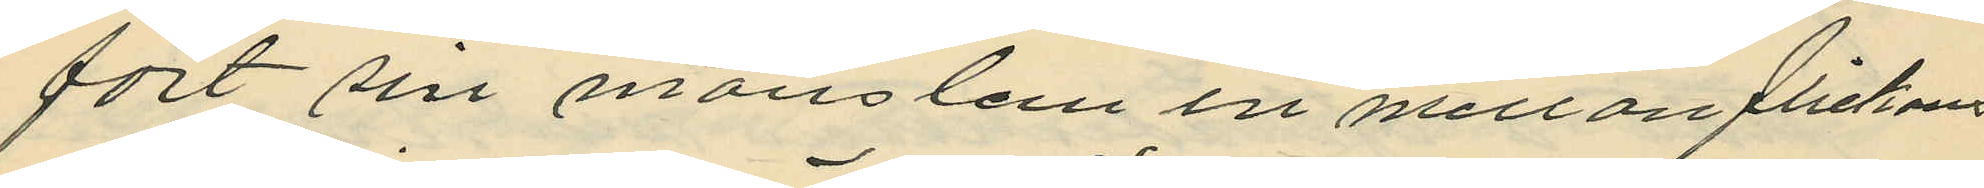fört sin manslem in mellan flickans
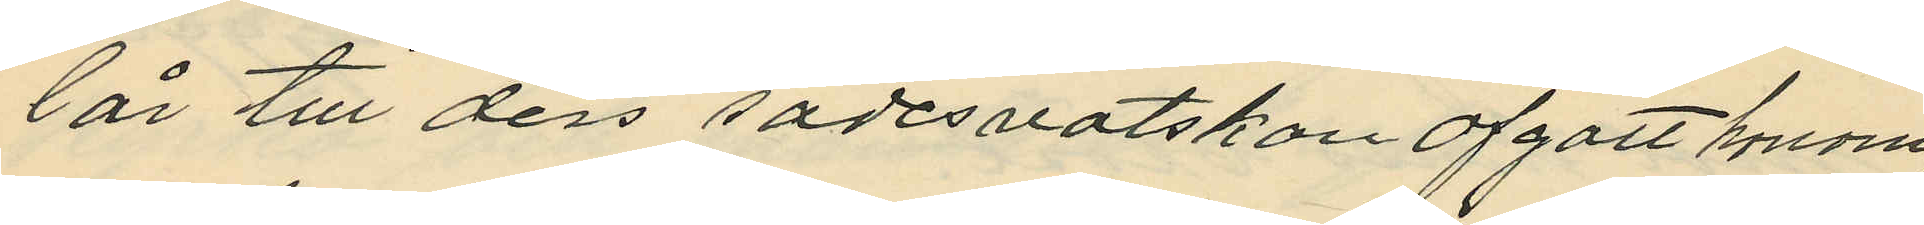lår till dess sädesvätskan afgått honom,
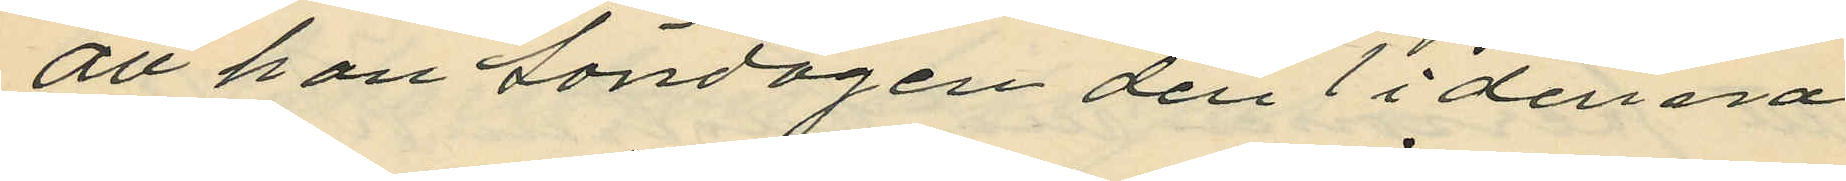att han Söndagen den 1 i denna
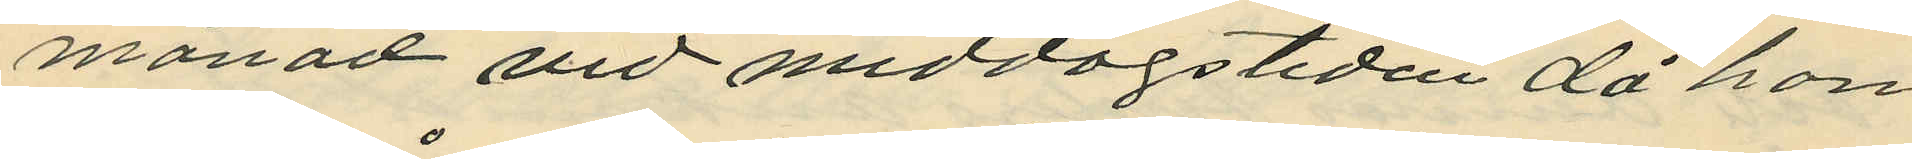månad vid middagstiden då han
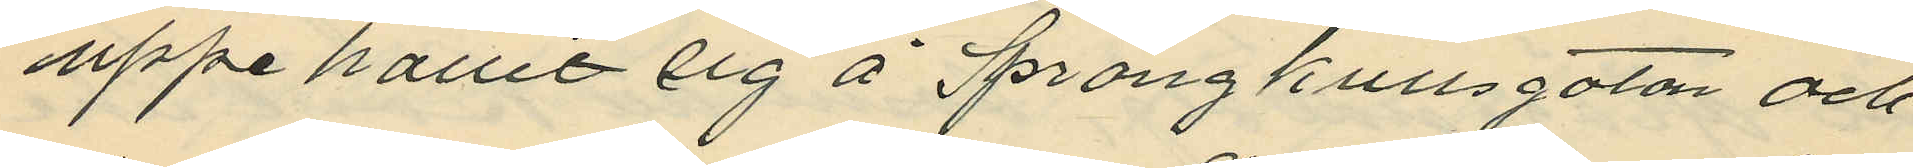uppehållit sig å Sprängkullsgatan och.
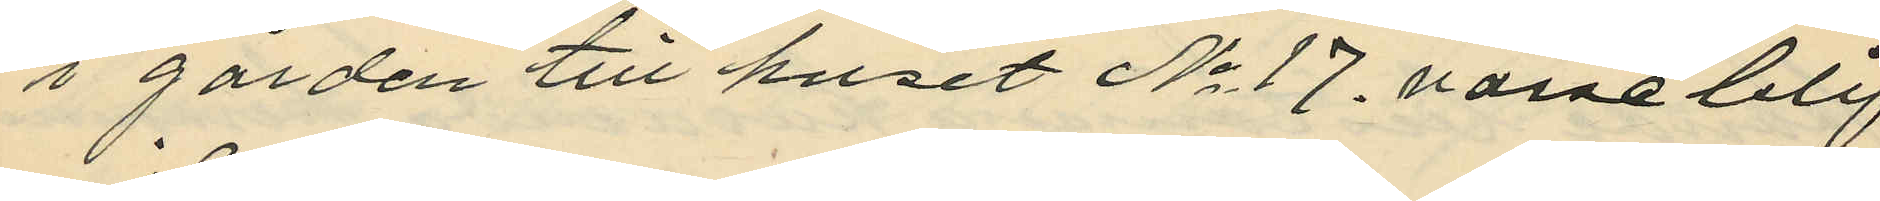i gården till huset No 17. varseblif
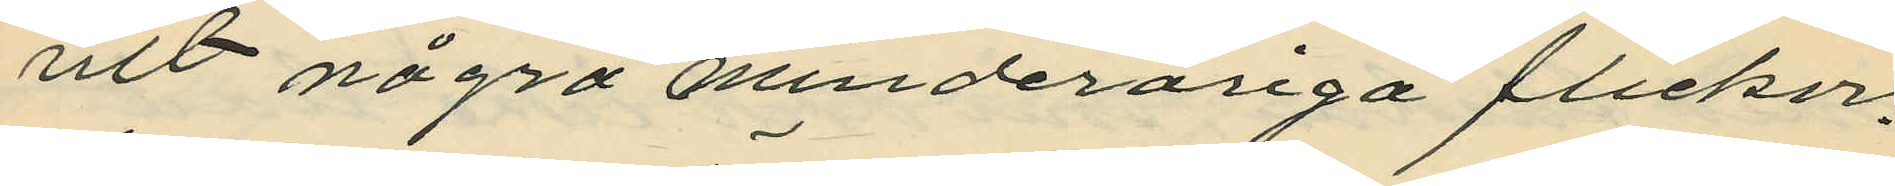vit några minderåriga flickor,
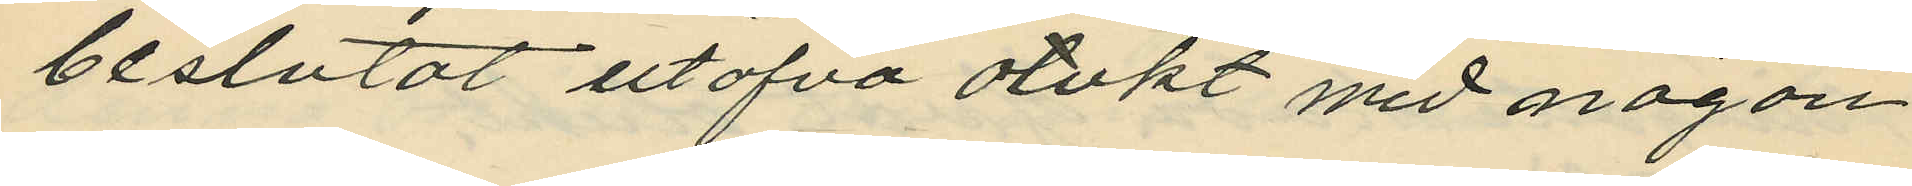beslutat utöfva otukt med någon
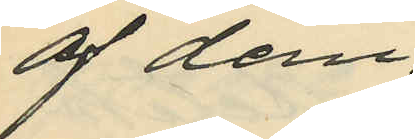af dem.
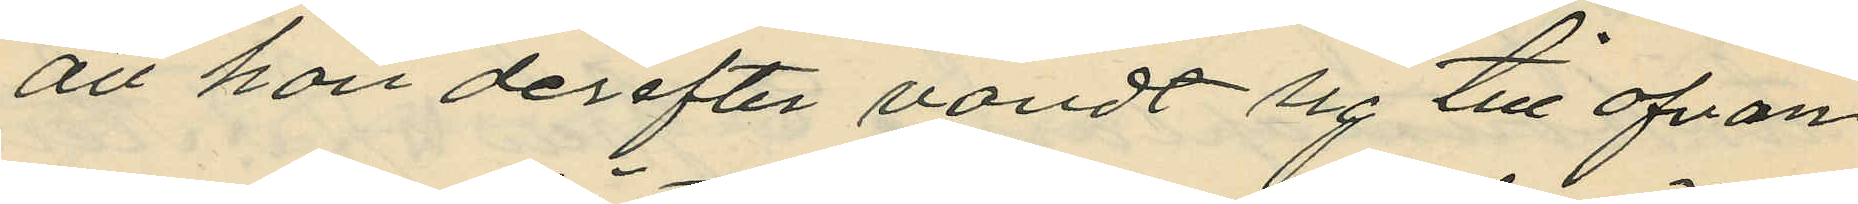att han derefter vändt sig till ofvan
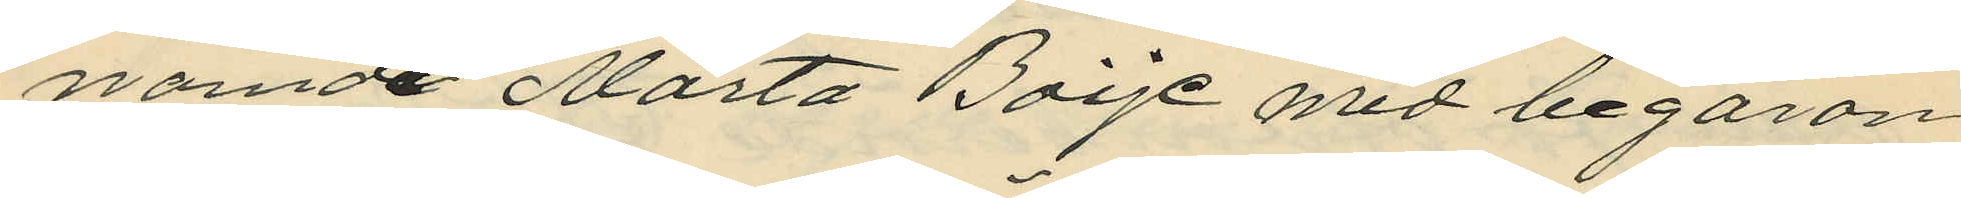namde Märta Boije med begäran
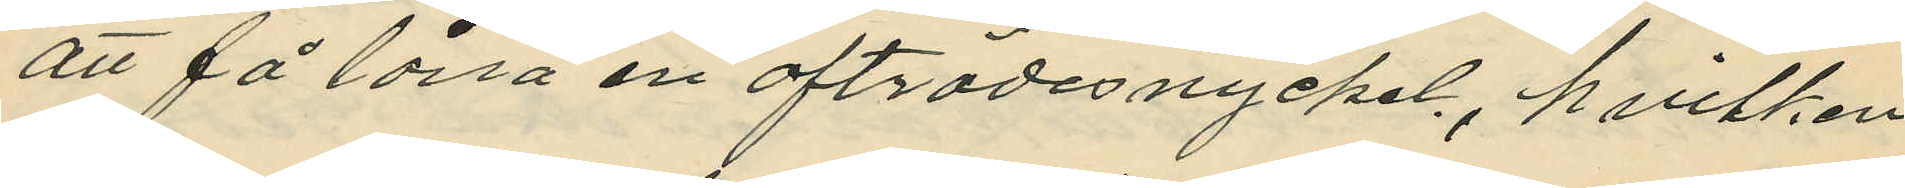att få låna en afträdesnyckel, hvilken
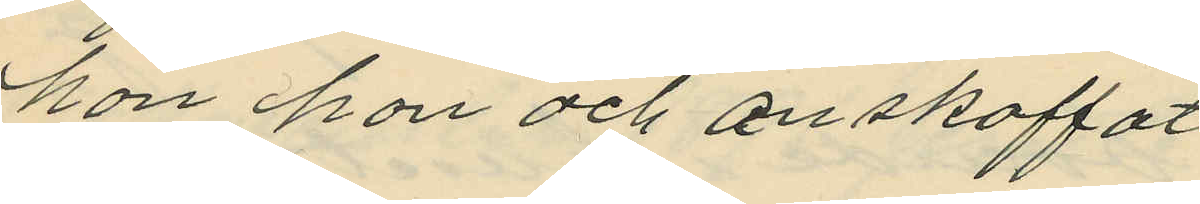hon hon och anskaffat
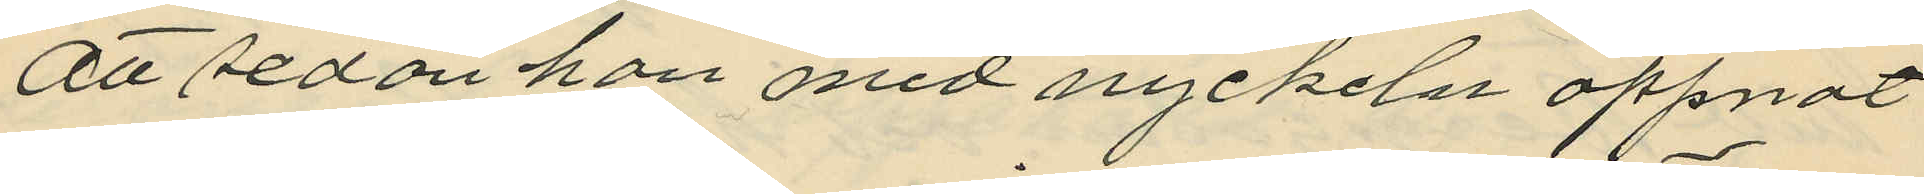att sedan han med nyckeln öppnat
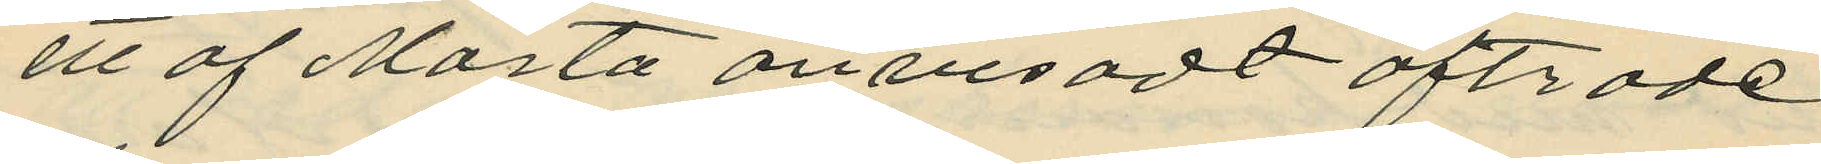ett af Märta anvisadt afträde
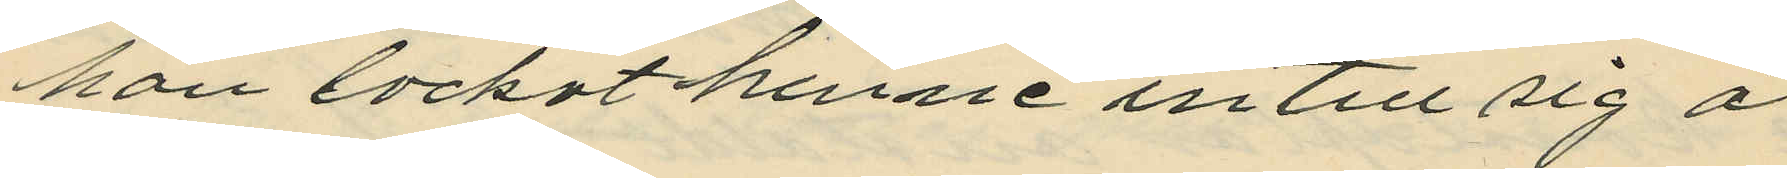han lockat henne in till sig å
